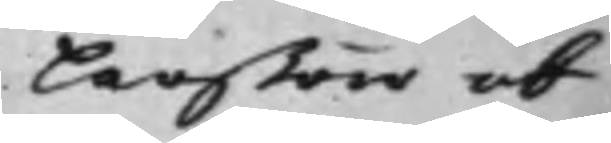Larßon och
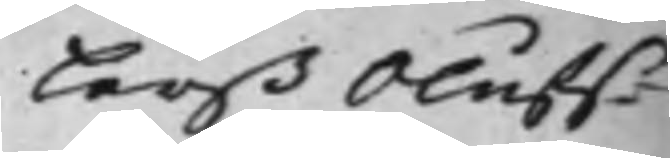Larß Oluff¬¬
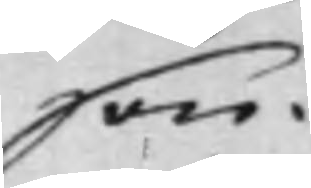son.
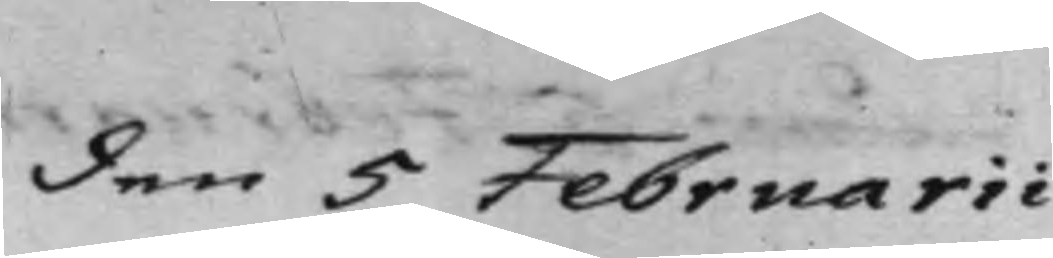den 5 Februarii
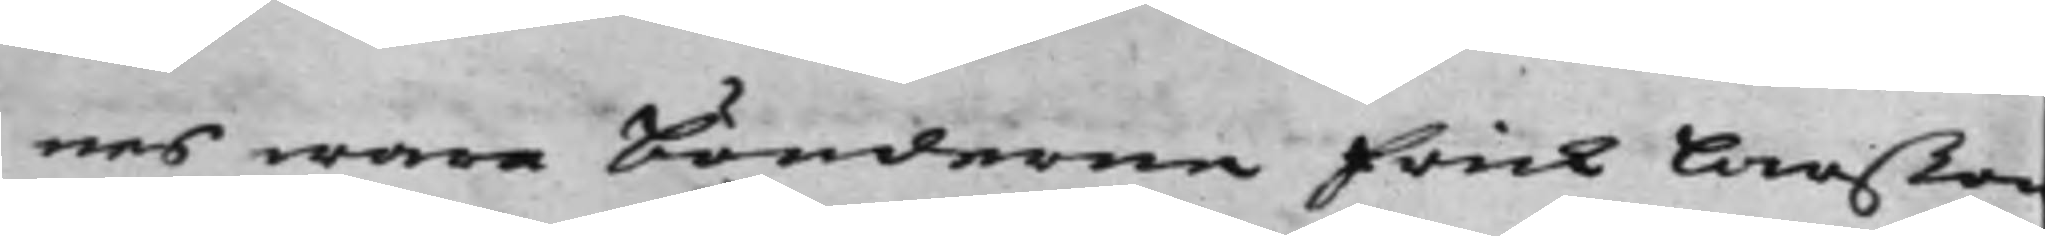nes wara bönderna Erick Larßon
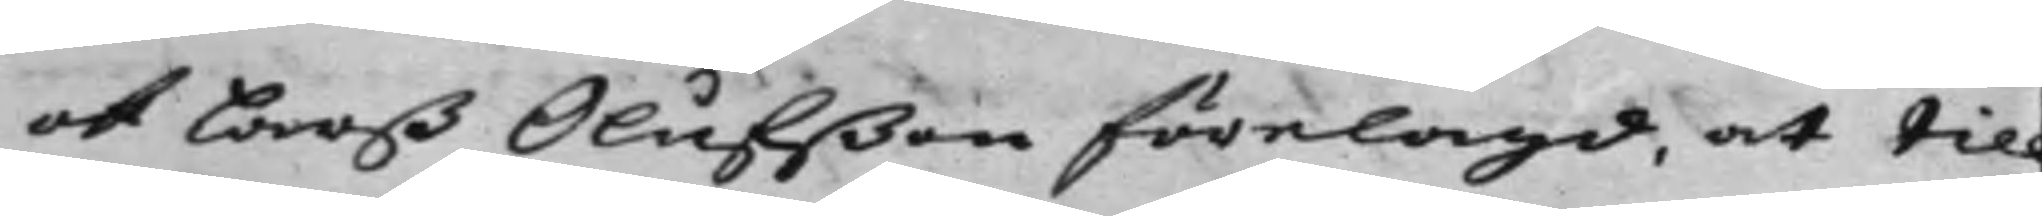och Larß Olufßon förelagd, at till
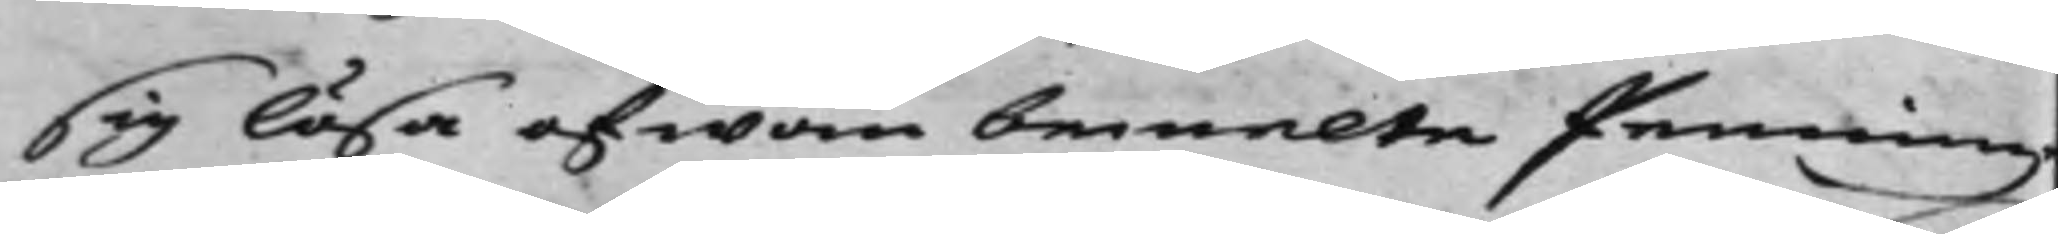sig lösa ofwan bemelte Penning¬
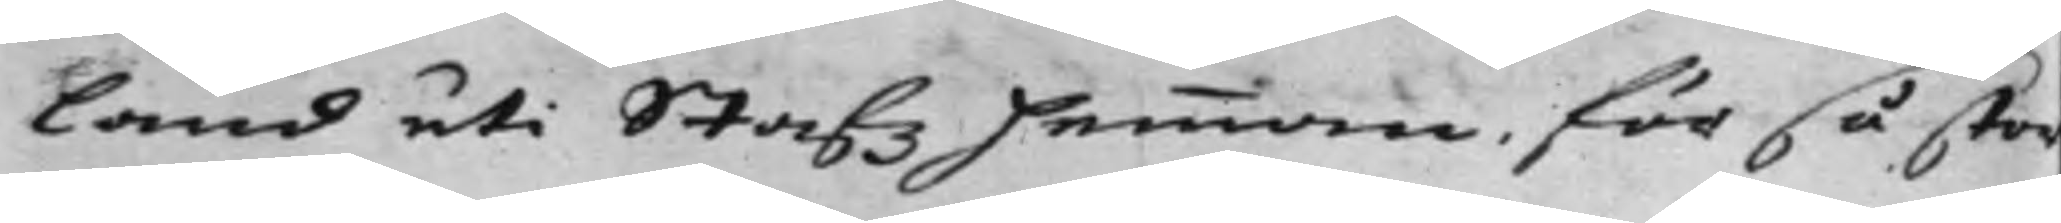land uti Stafz Hemman, för så stor
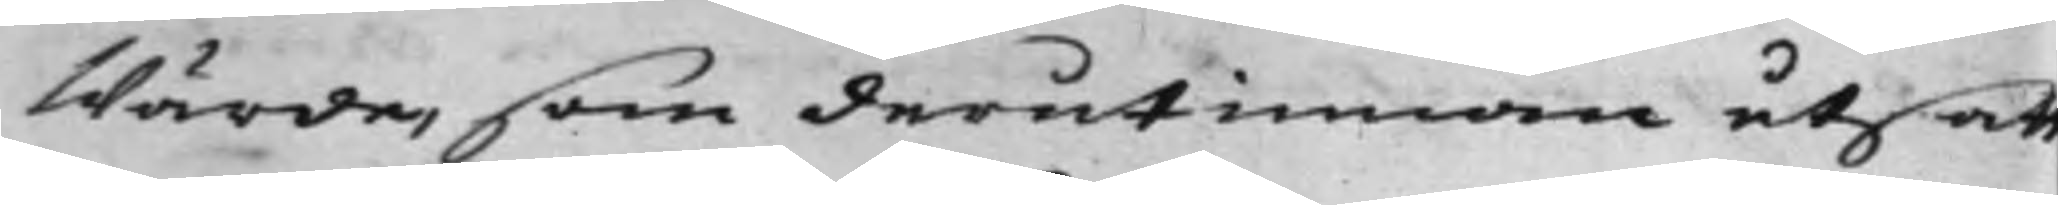Wärde, som derutinnan utsatt
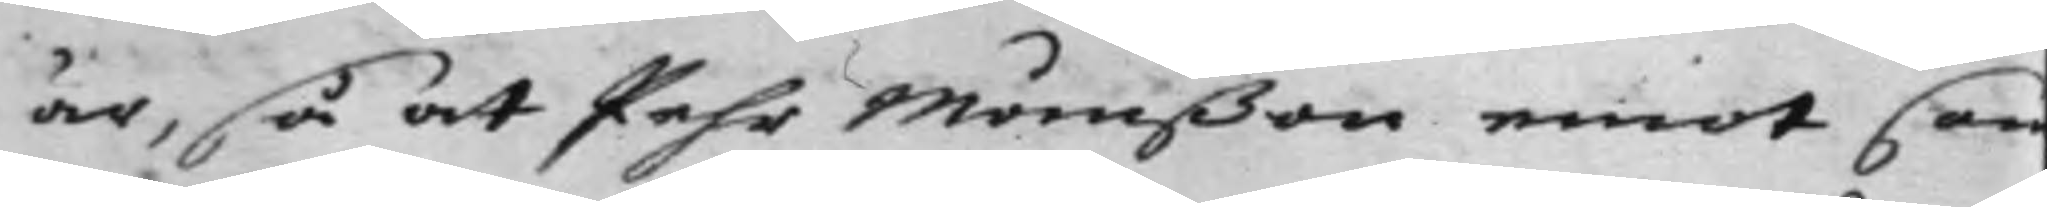är, så at Pehr Månßon emot sam¬
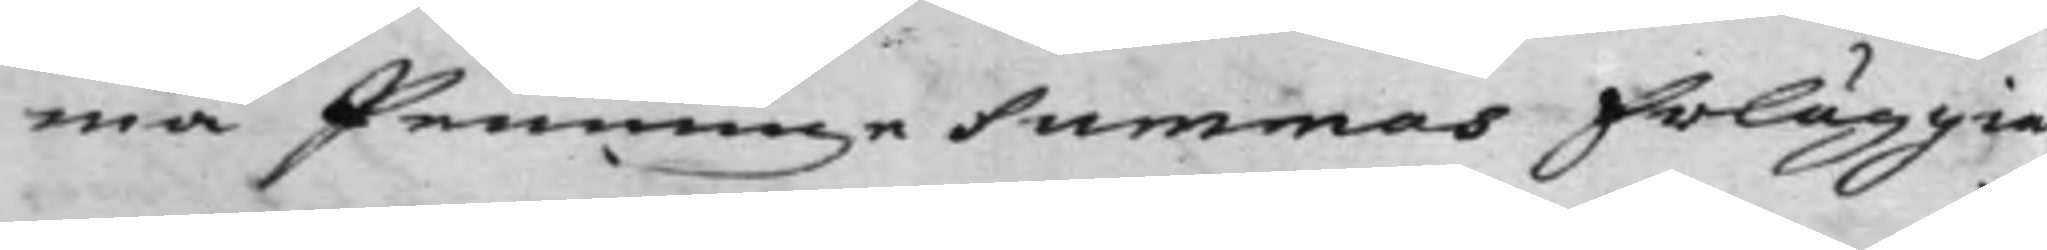ma Penninge Summas Erläggia¬
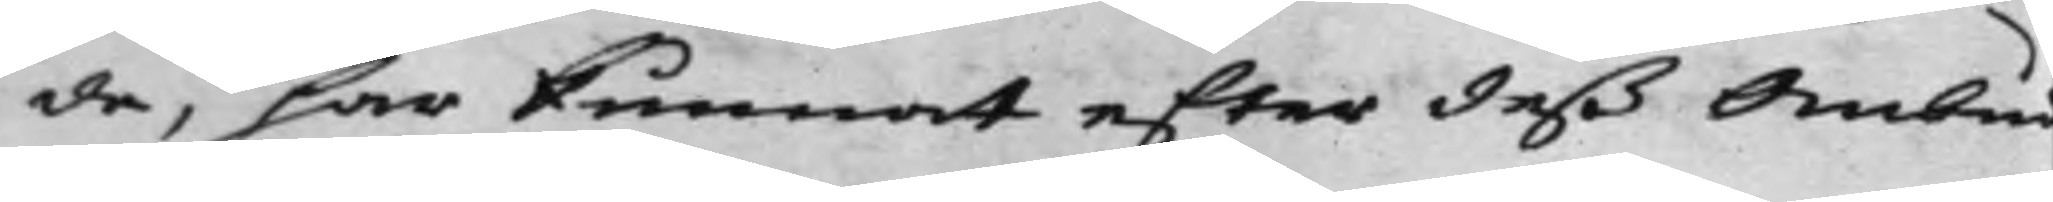de, har kunnat efter deß Ombud
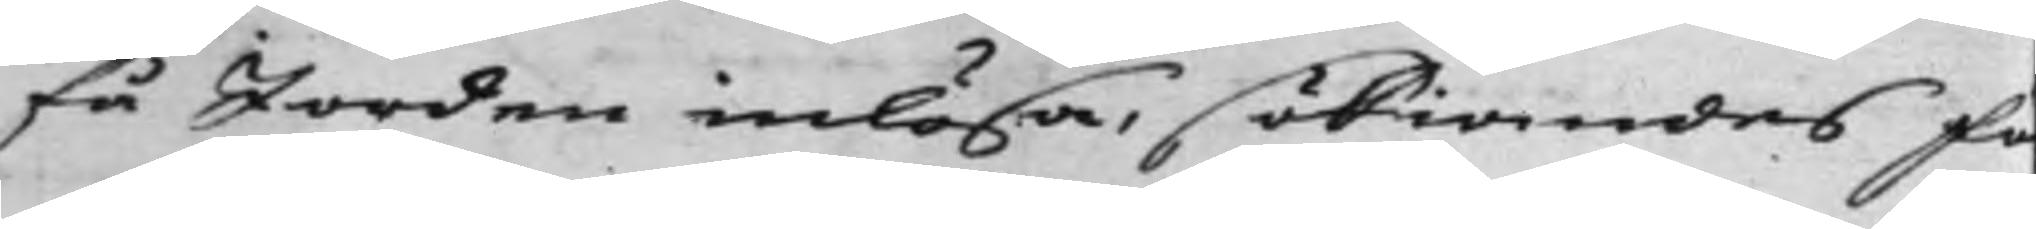få Jorden inlösa, sökiandes Fo¬
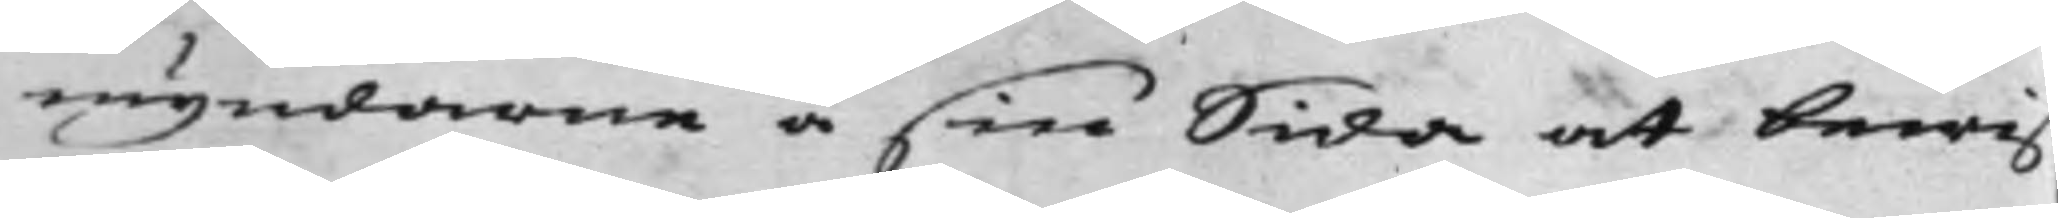myndarne å sin sida at bewi
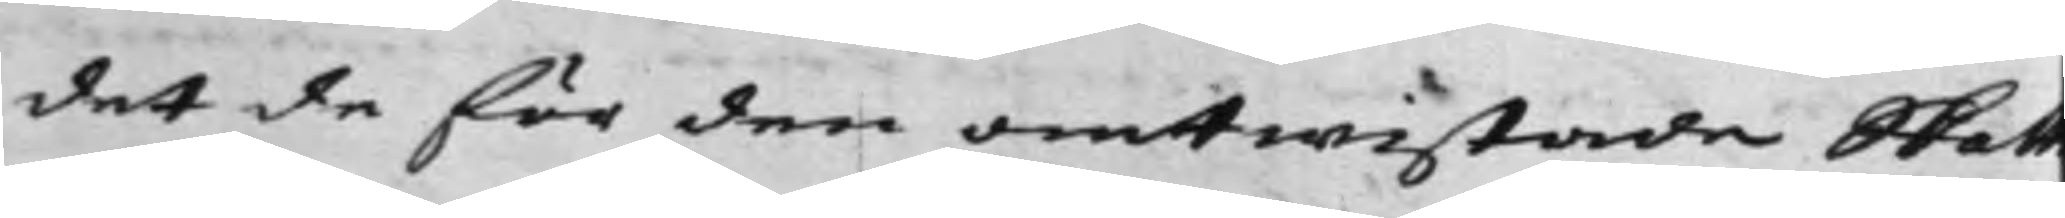det de för den omtwistade Skatt
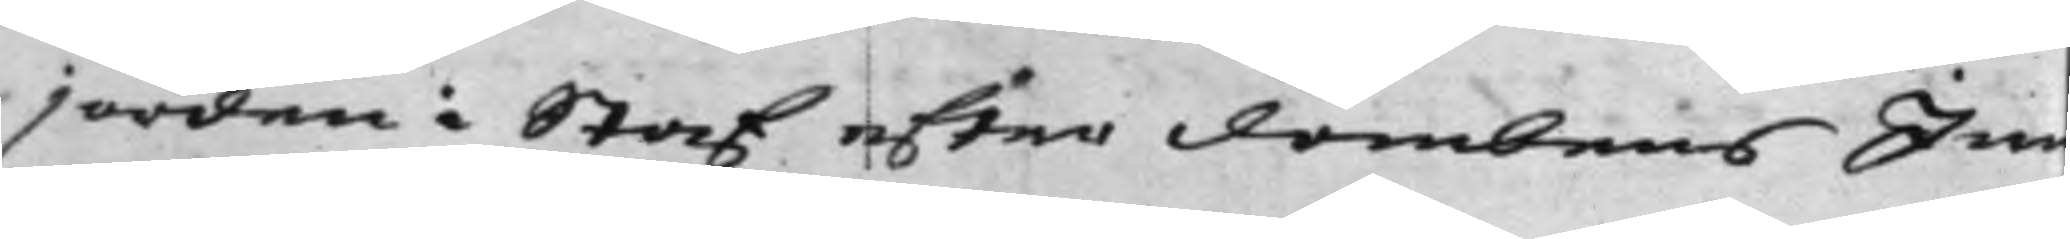jorden i Staf efter dombens In¬
